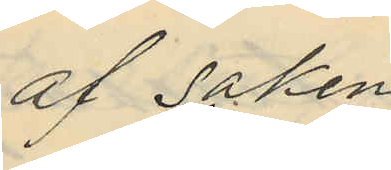af saken
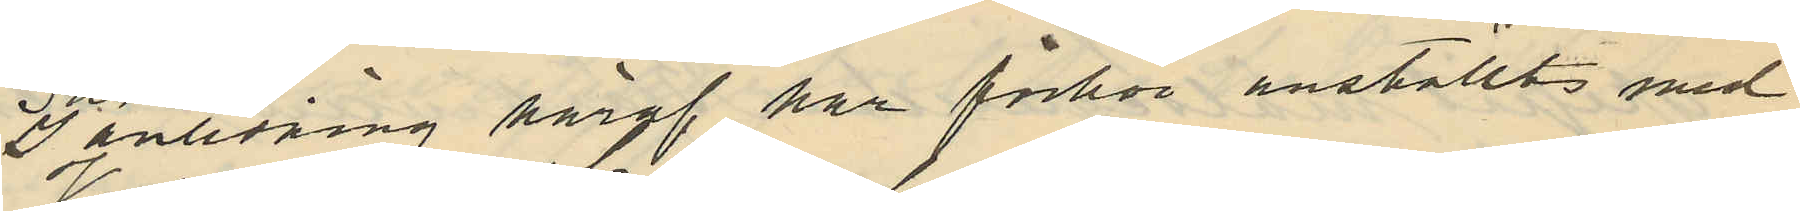I anledning häraf har förhör anställts med
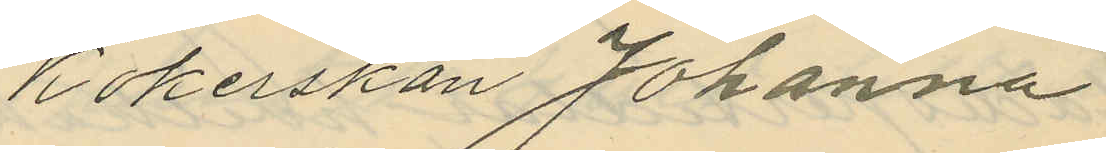kokerskan Johanna
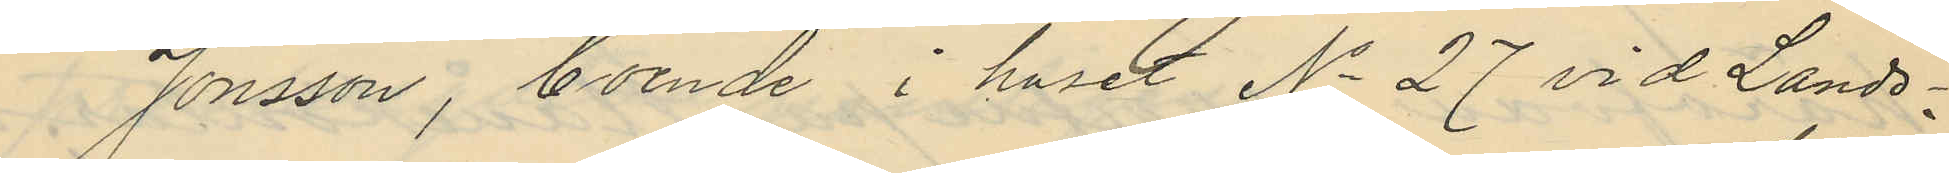Jonsson, boende i huset No 27 vid Lands¬
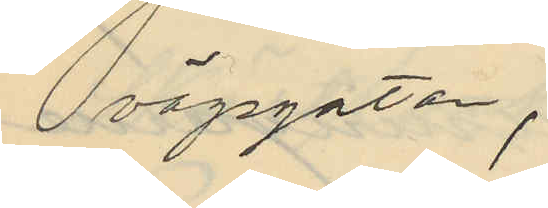vägsgatan,
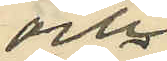och
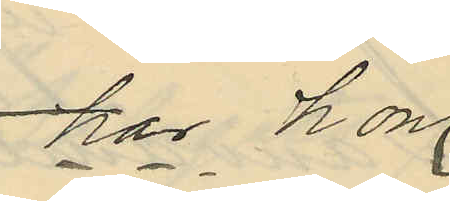har hon
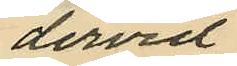dervid
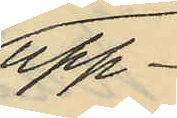upp¬
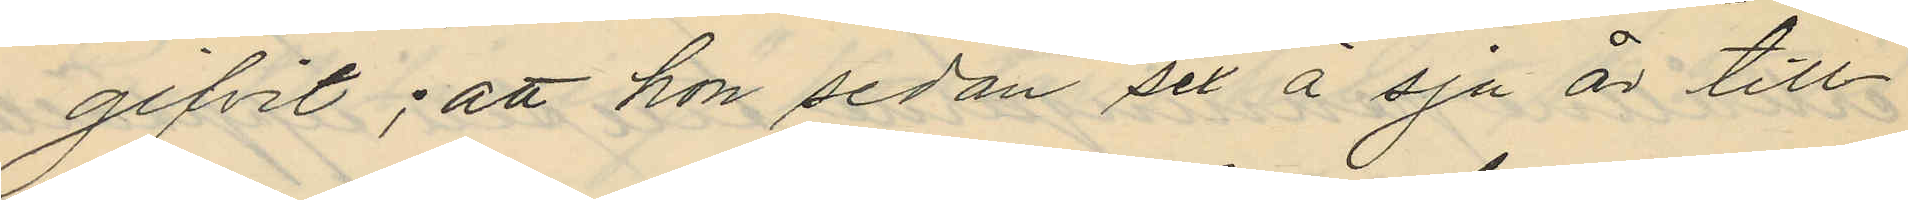gifvit; att hon sedan sex á sju år till¬
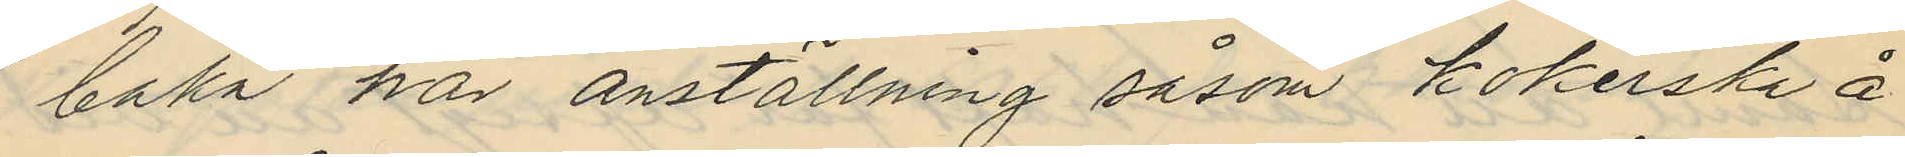baka har anställning såsom kokerska å
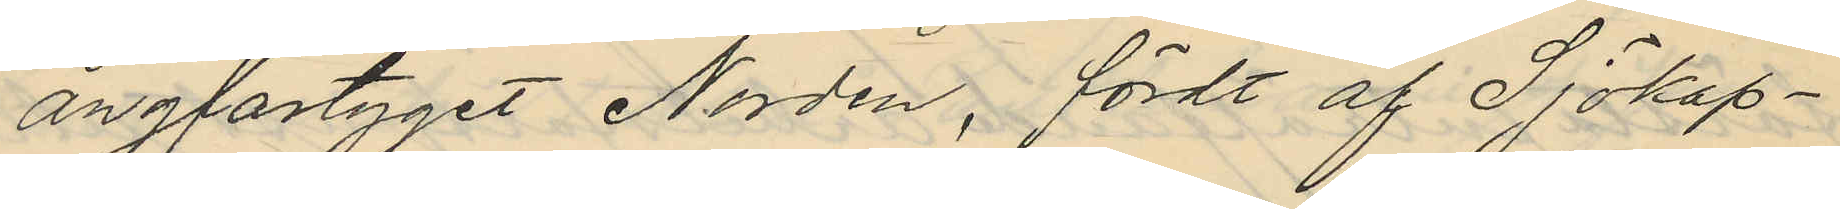ångfartyget Norden, fördt af Sjökap¬
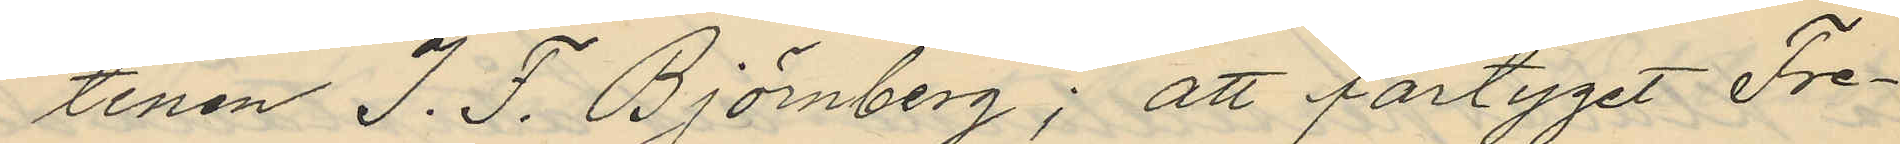tenen I.F. Björnberg; att fartyget Fre¬
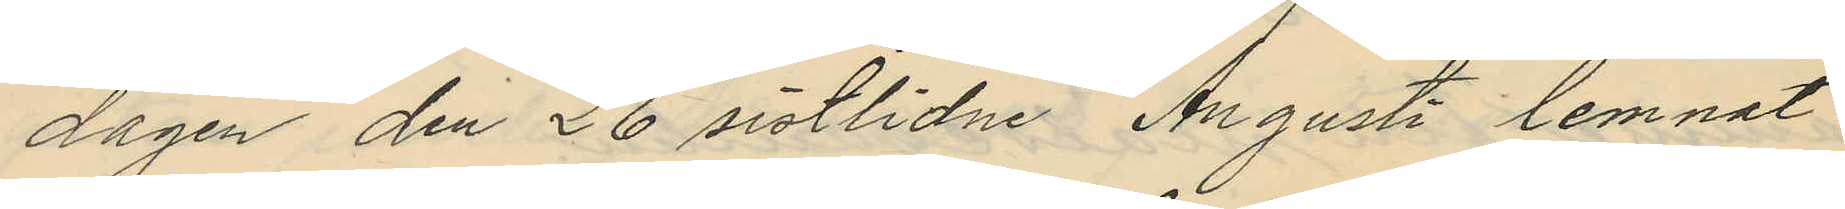dagen den 26 sistlidne Augusti lemnat
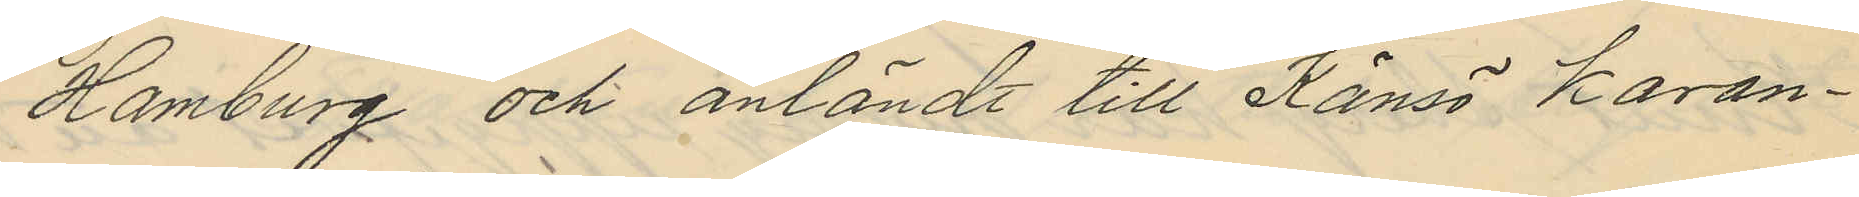Hamburg och anländt till Känsö karan¬
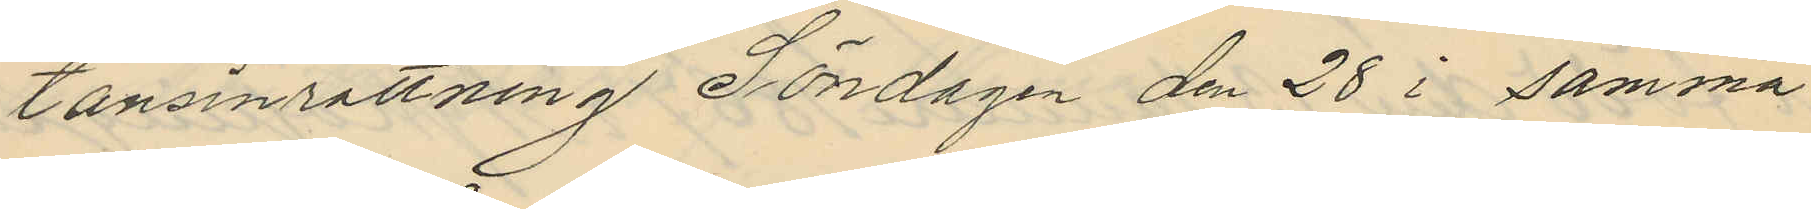tänsinrättning Söndagen den 28 i samma
